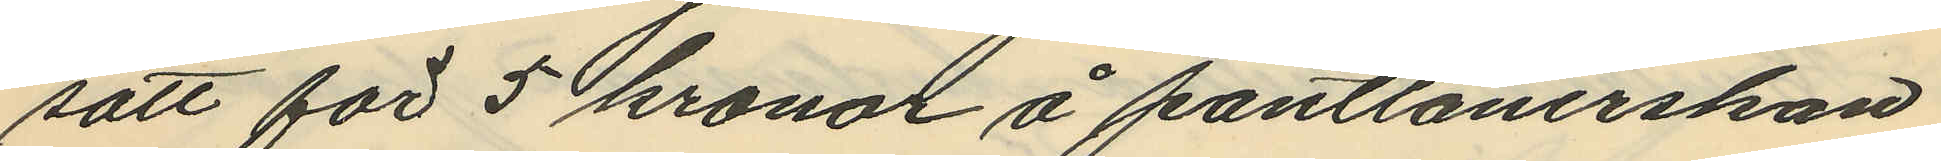satt för 5 kronor å pantlånerskan
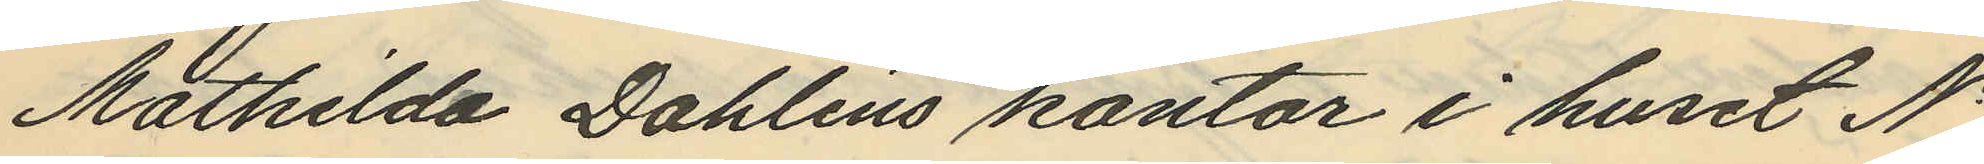Mathilda Dahlins kontor i huset No
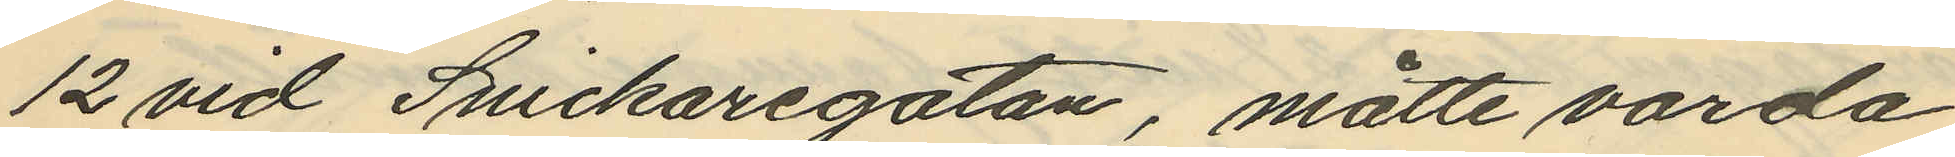12 vid Snickaregatan, måtte varda
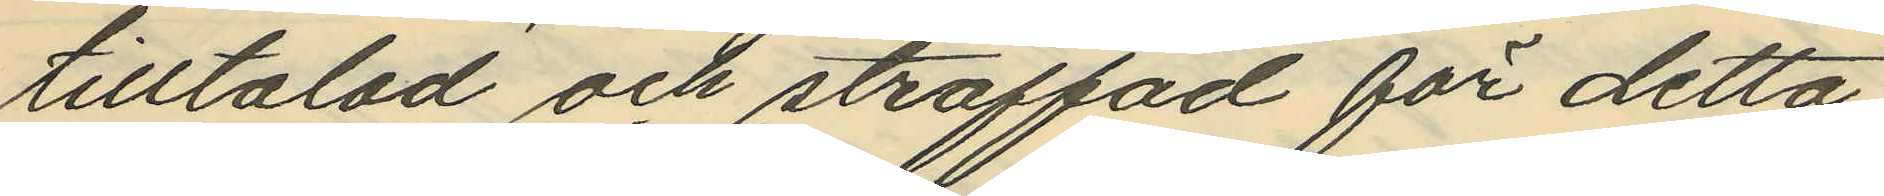tilltalad och straffad för detta
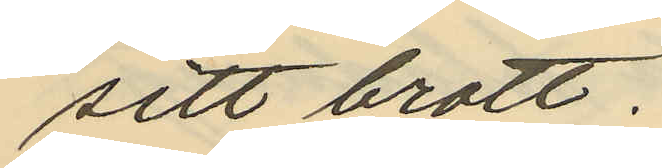sitt brott.
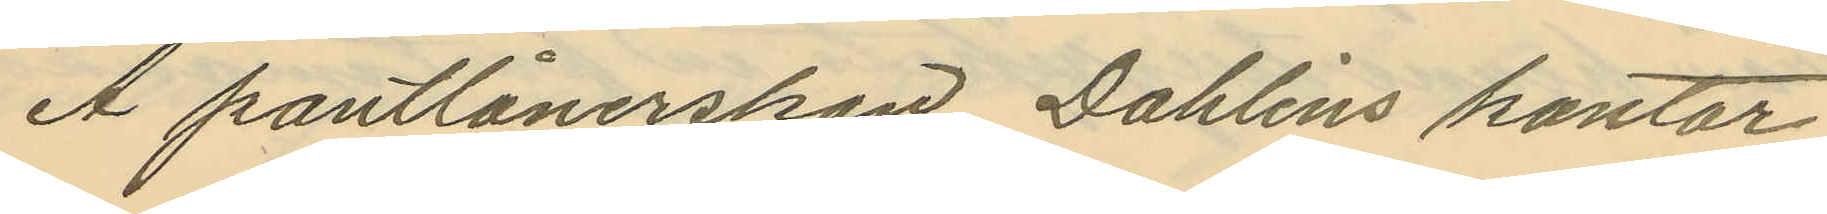Å pantlånerskan Dahlins kontor
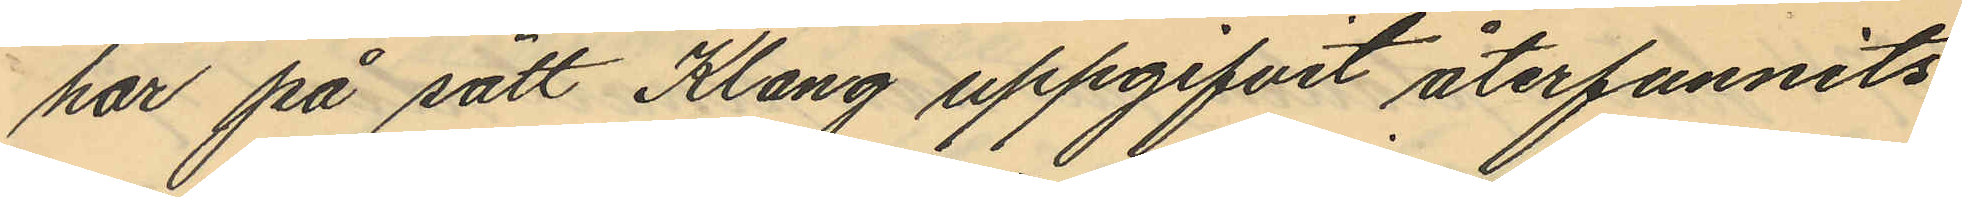har på sätt Klang uppgifvit återfunnits
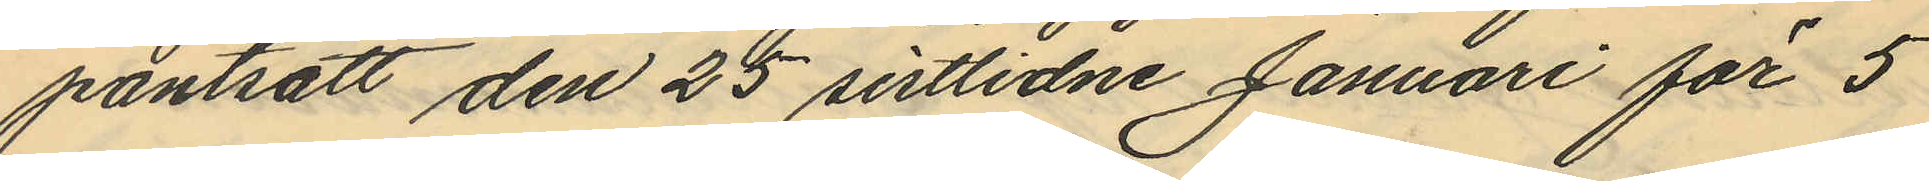pantsatt den 25 sistlidne Januari för 5
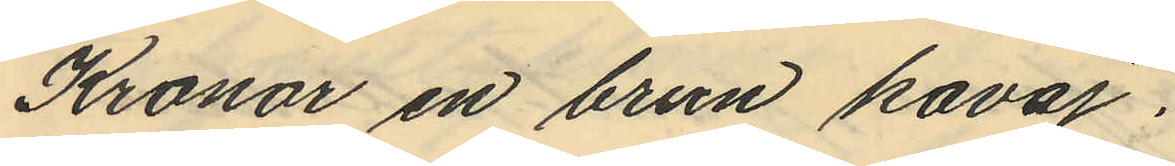Kronor en brun kavaj.
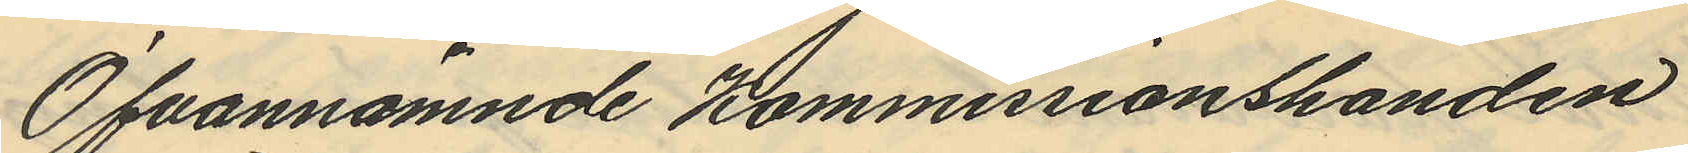Ofvannämnde Kommissionshanden
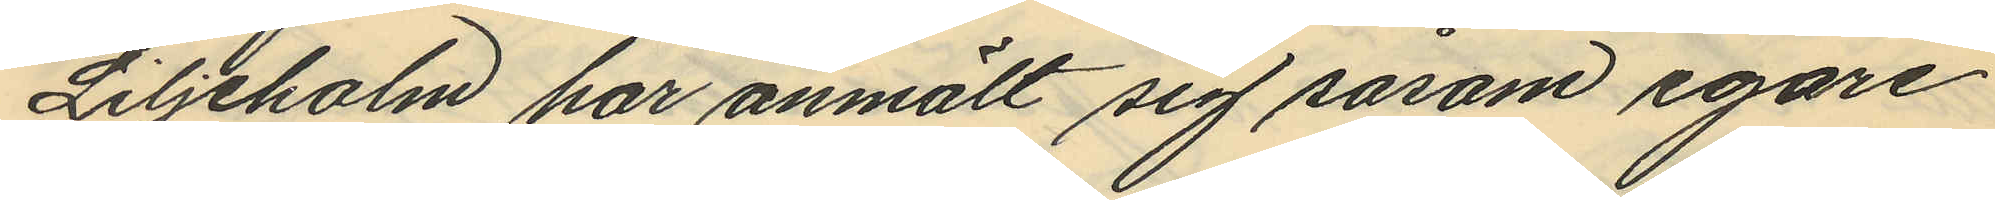Liljeholm har anmält sig såsom egare
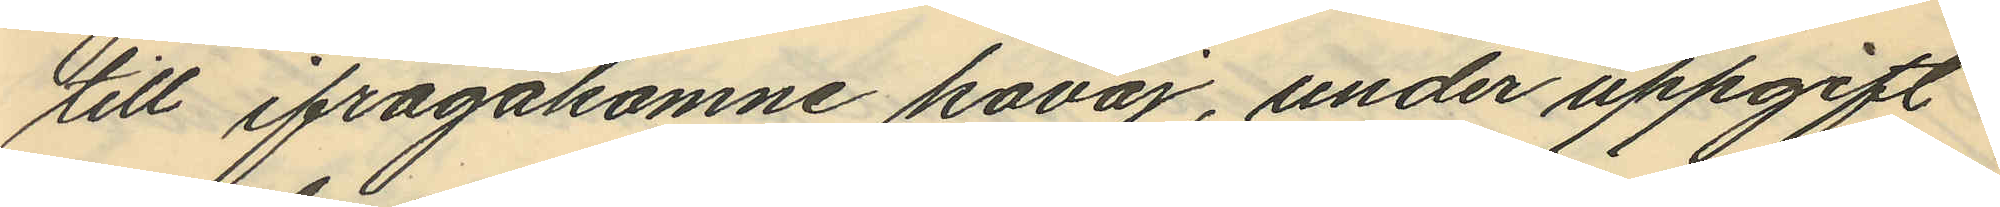till ifrågakomne kavaj, under uppgift
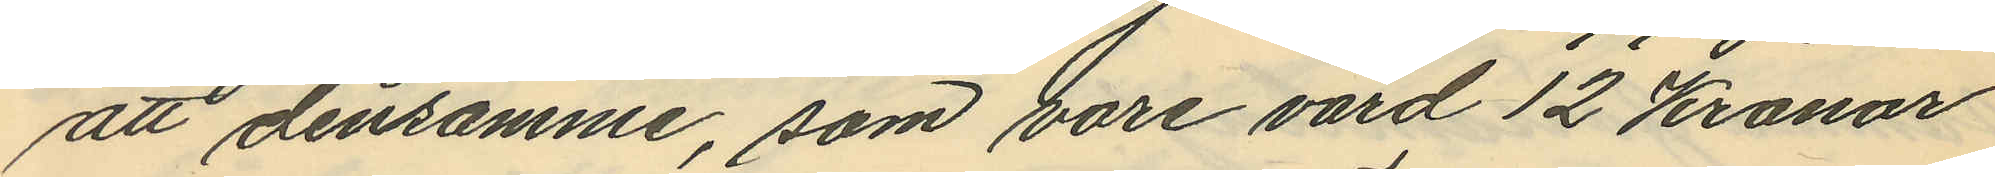att densamme, som vore värd 12 Kronor
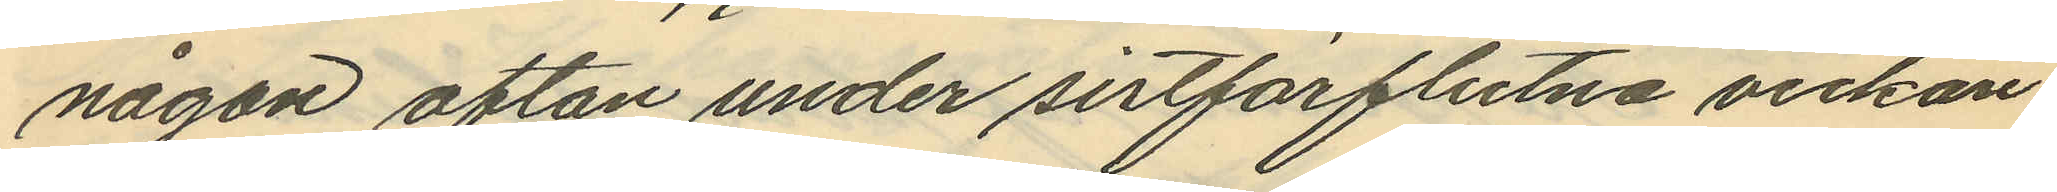någon afton under sistförflutna veckan
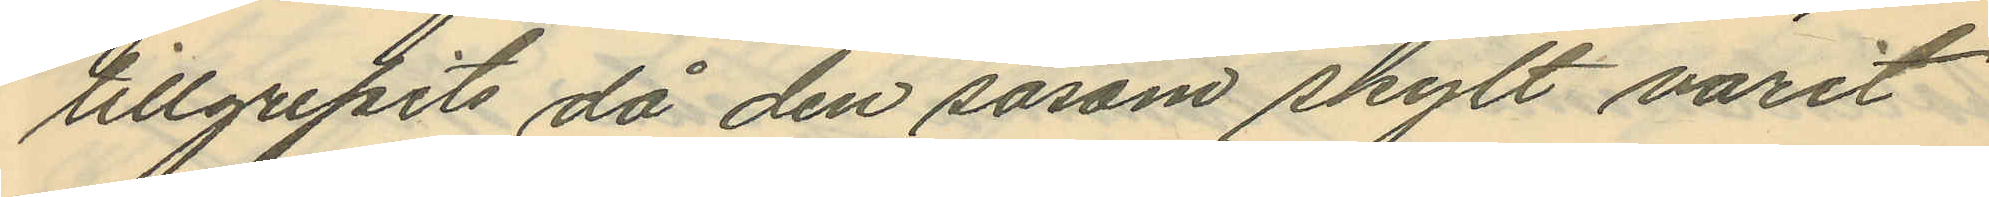tillgripits då den såsom skylt varit
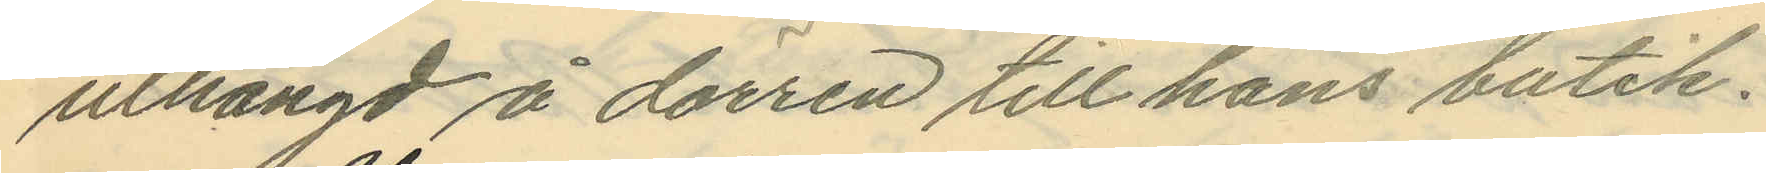uthängd å dörren till hans butik.
